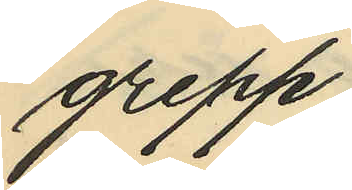grepp.
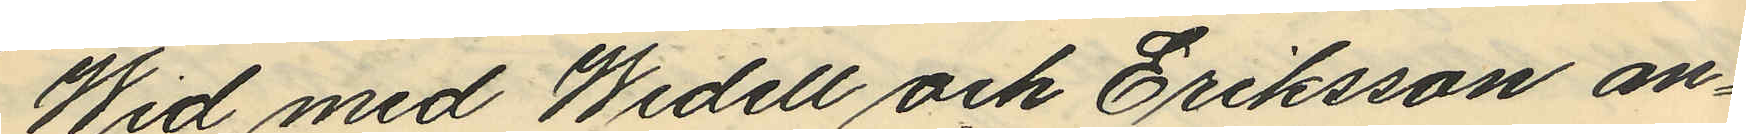Wid med Widell och Eriksson an¬
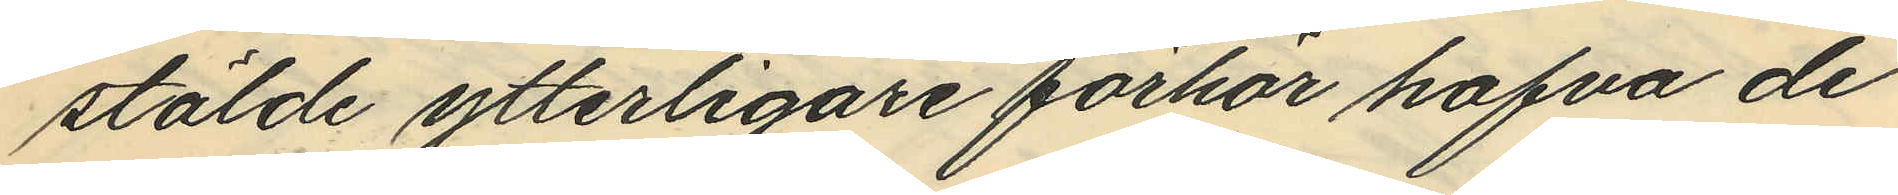stälde ytterligare förhör hafva de
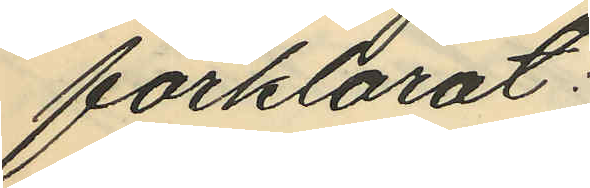förklarat:
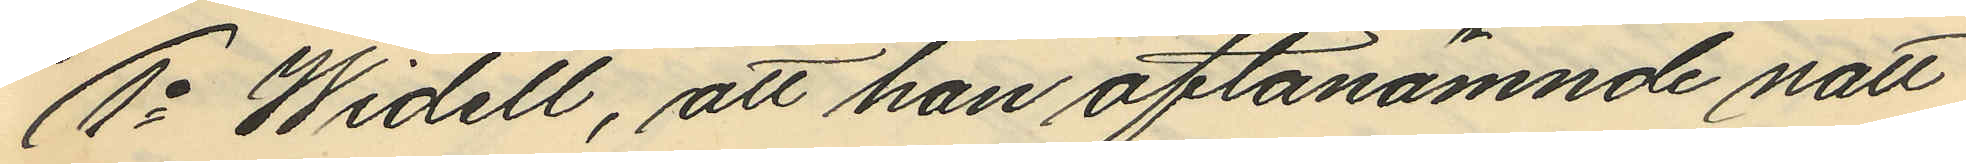1o Widell, att han oftanämnde natt
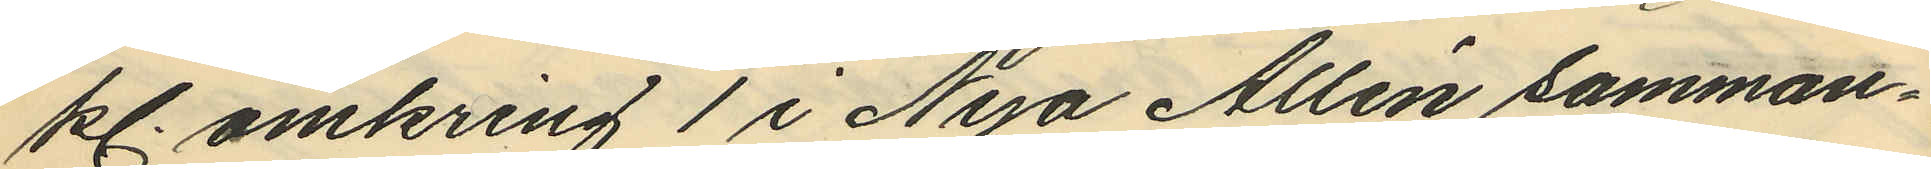kl. omkring 1 i Nya Allén samman¬
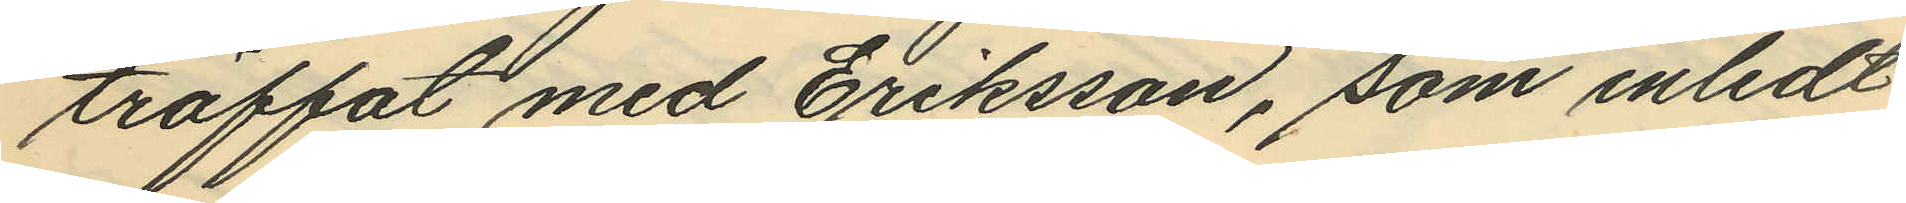träffat med Eriksson, som inledt
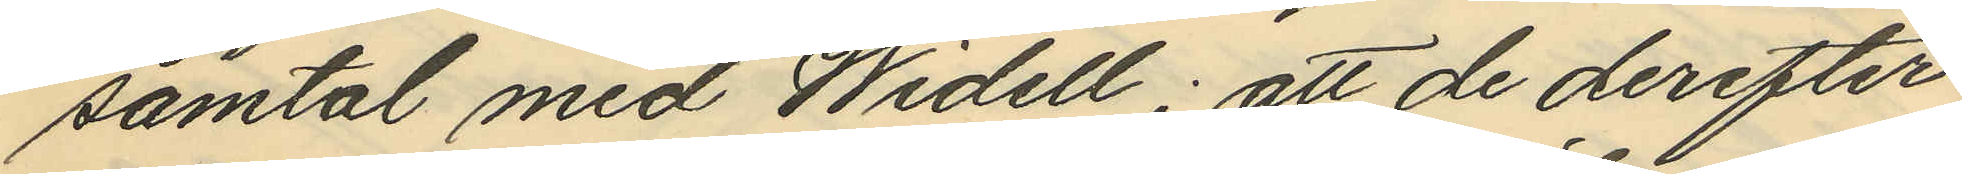samtal med Widell; att de derefter
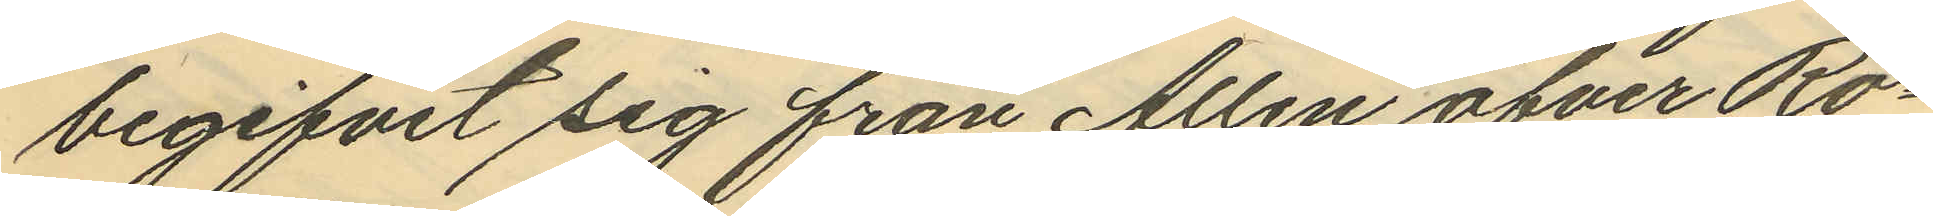begifvit sig från Allén öfver Ro¬
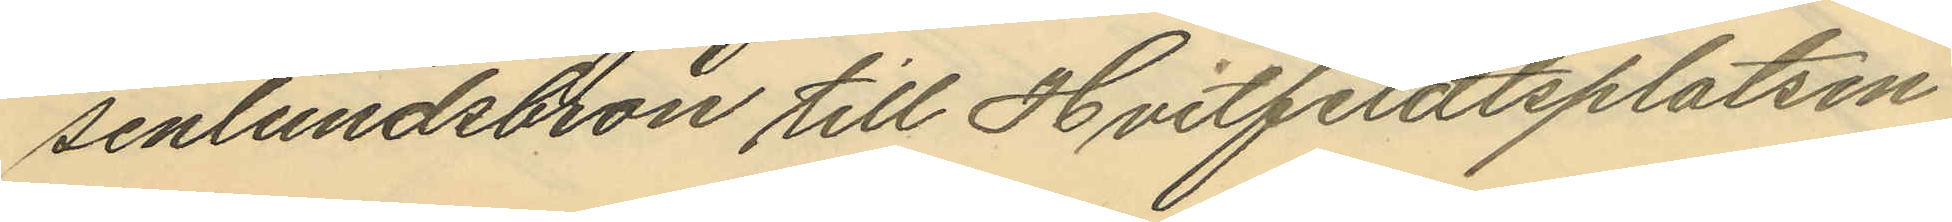senlundsbron till Hvitfeldtsplatsen
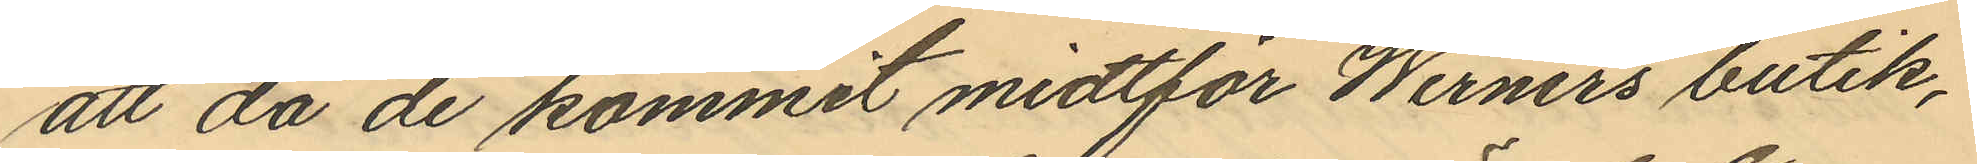att då de kommit midtför Werners butik,
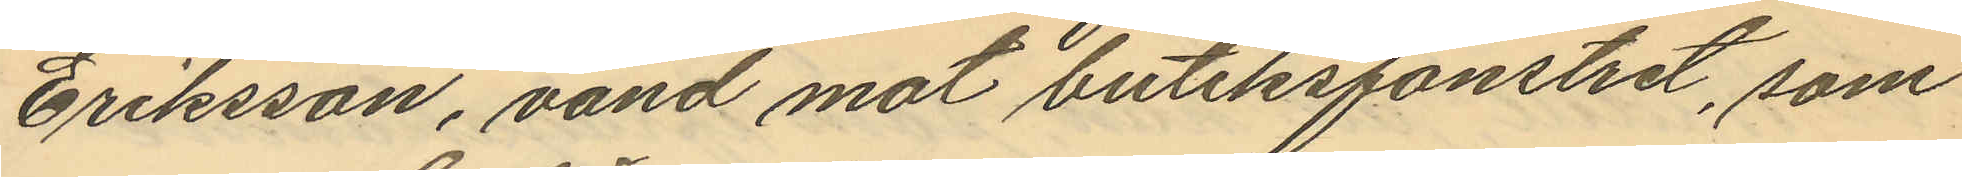Eriksson, vänd mot butiksfönstret, som
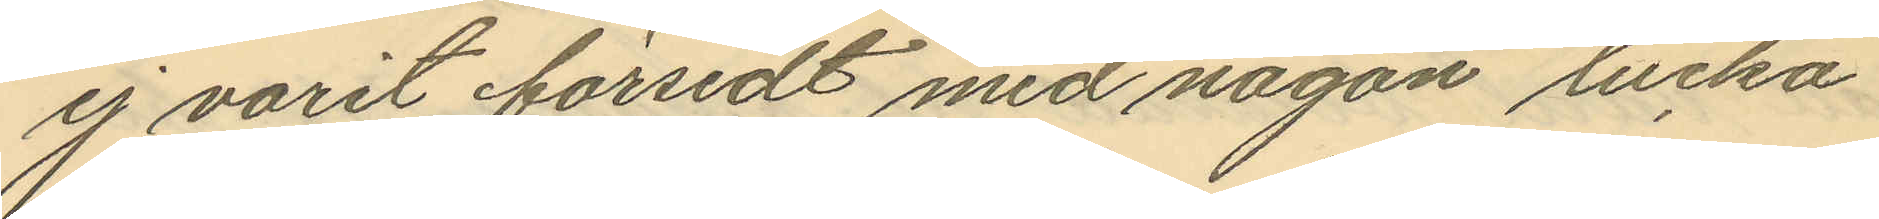ej varit försedt med någon lucka
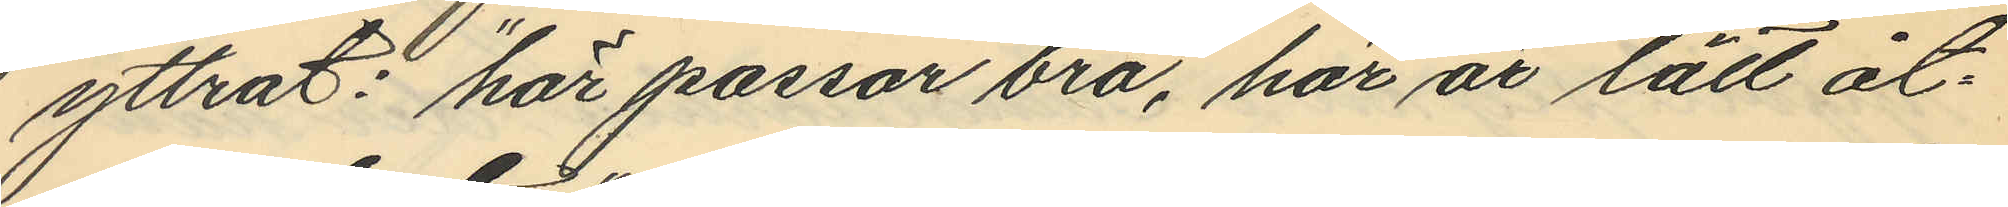yttrat: "här passar bra, här är lätt åt¬
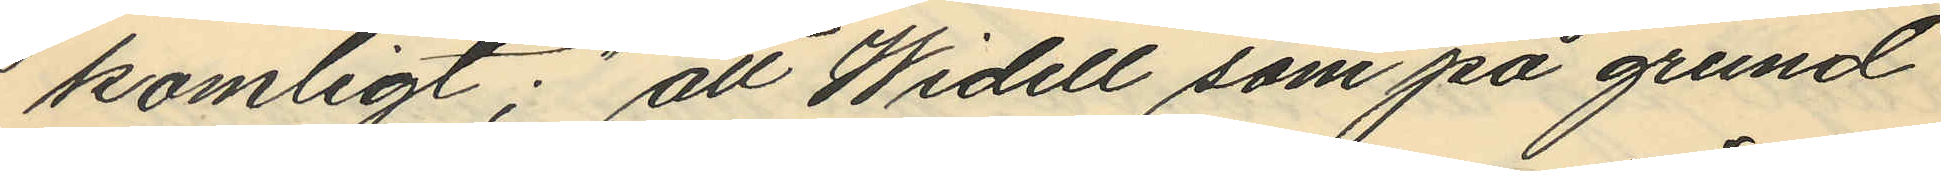komligt;" att Widell som på grund
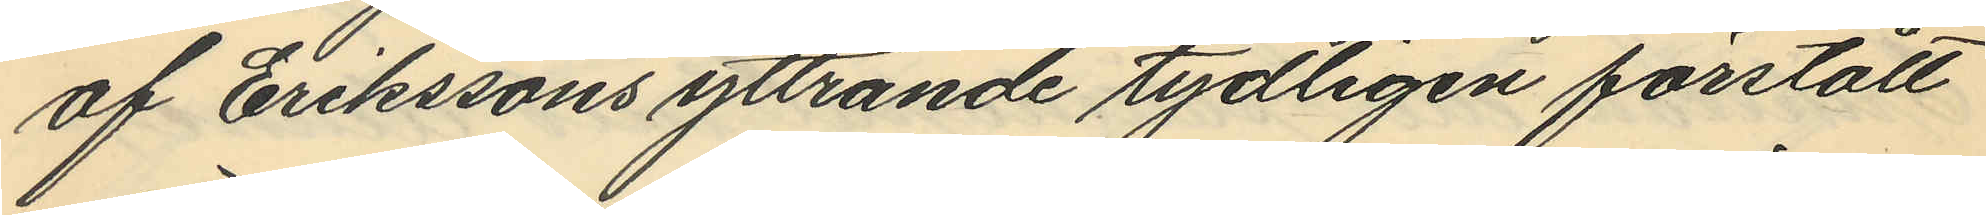af Erikssons yttrande tydligen förstått
